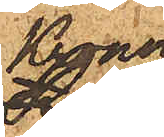Kronor
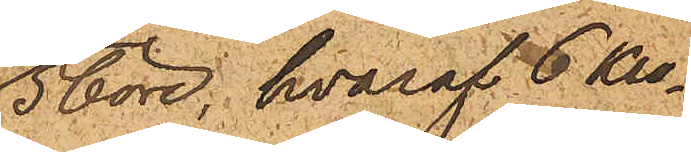5 öre, hvaraf 6 Kro¬
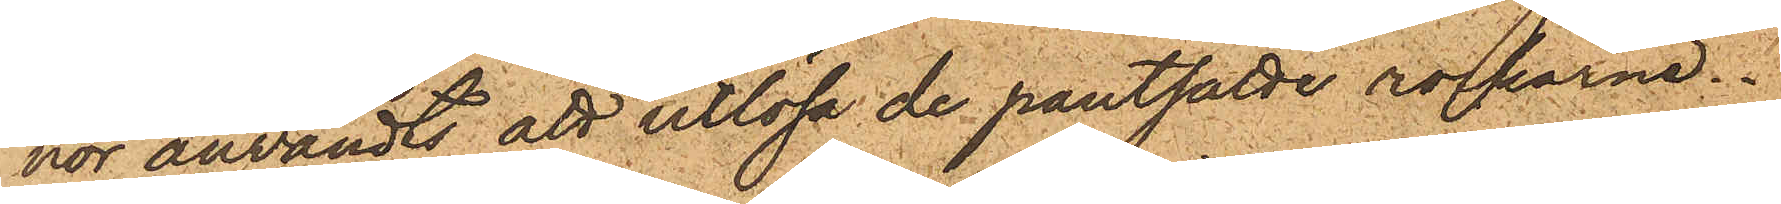nor användts att utlösa de pantsatte rockarne.
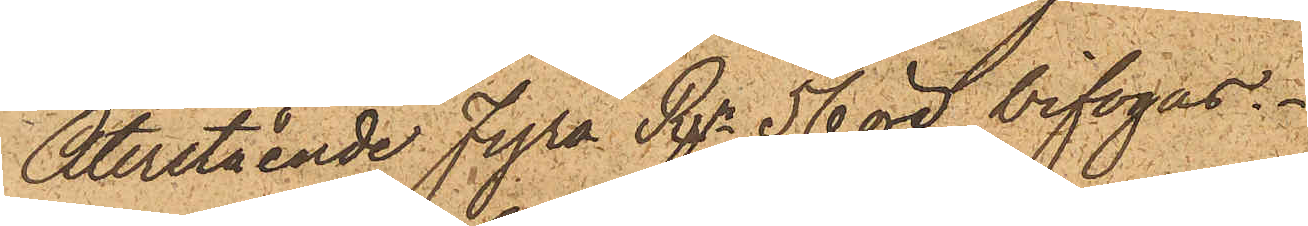Återstående Fyra Rdr 56 öre bifogas.
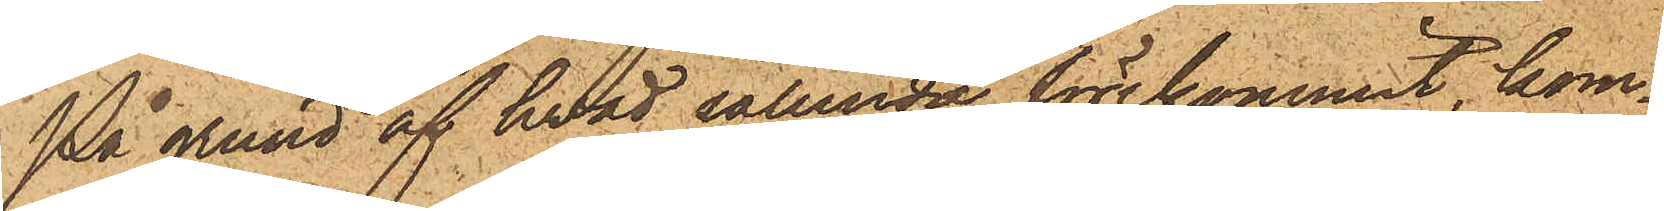På grund af hvad sålunda förekommit, kom¬
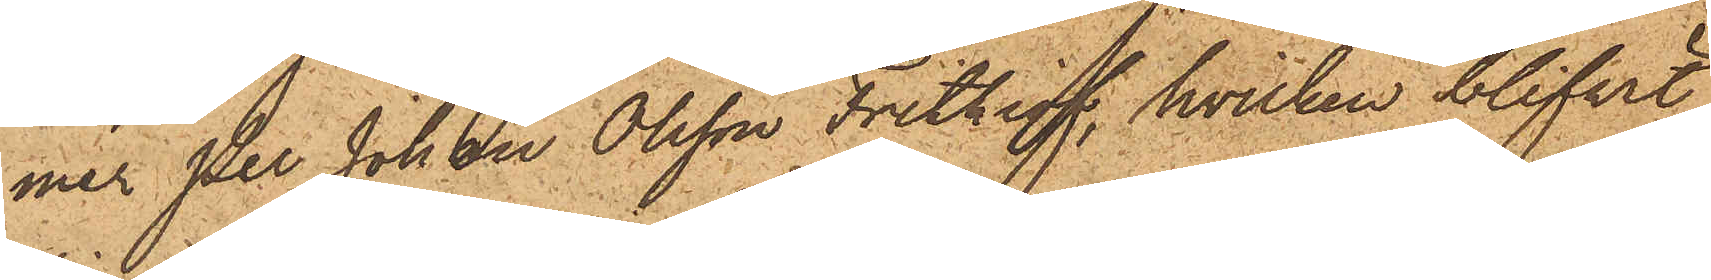mer Per Johan Olsson Frithiof, hvilken blifvit
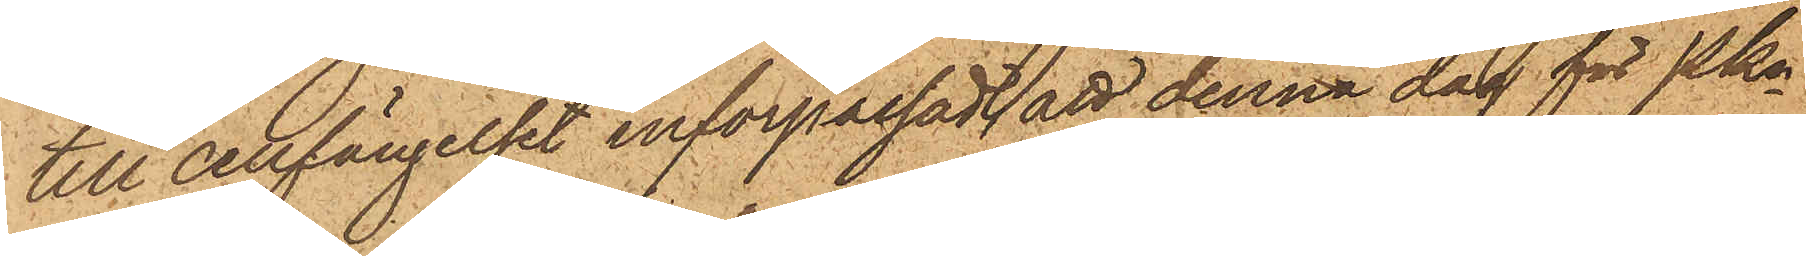till cellfängelset införpassad, att denna dag för Pkn
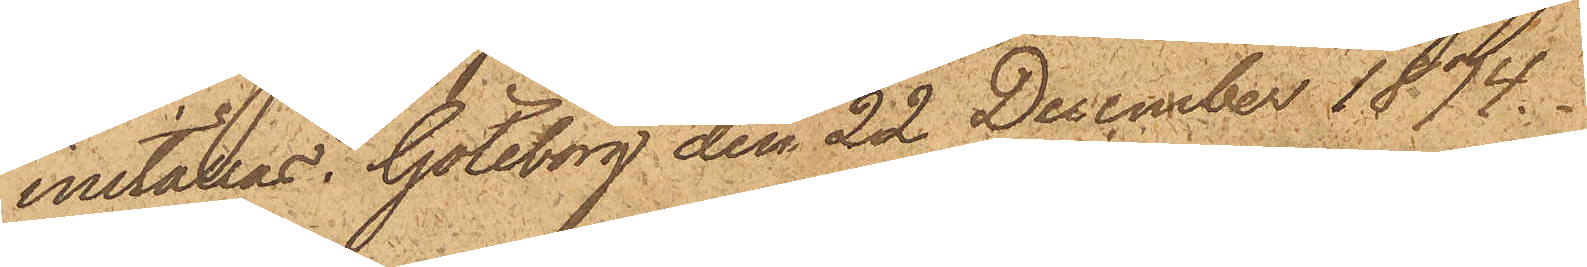inställas. Göteborg den 22 December 1874.
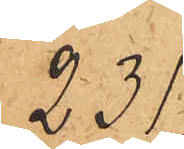231.
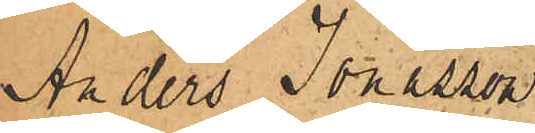Anders Jonasson
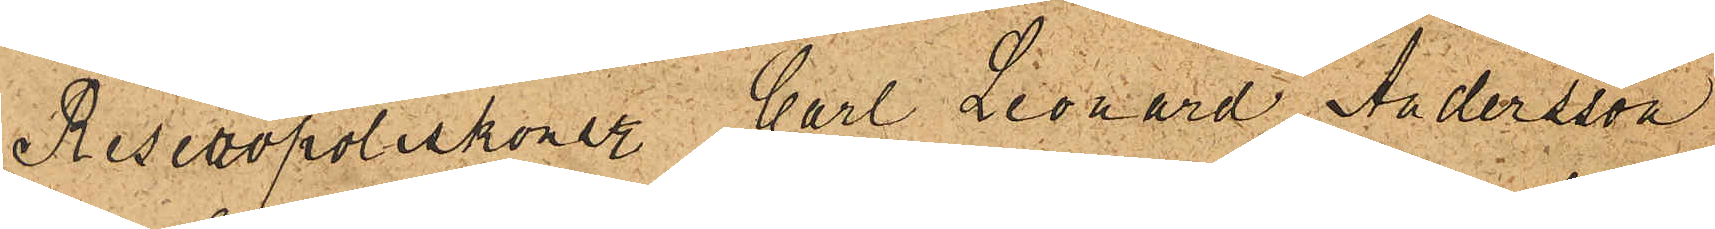Reservpoliskonstl Carl Leonard Andersson
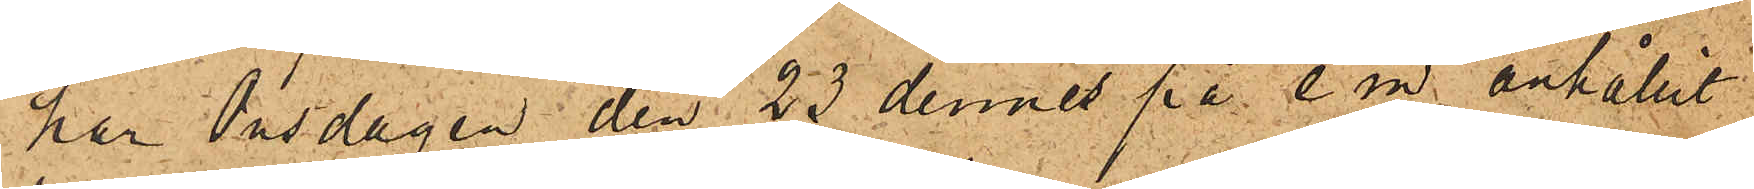har Onsdagen den 23 dennes på e. m. anhållit
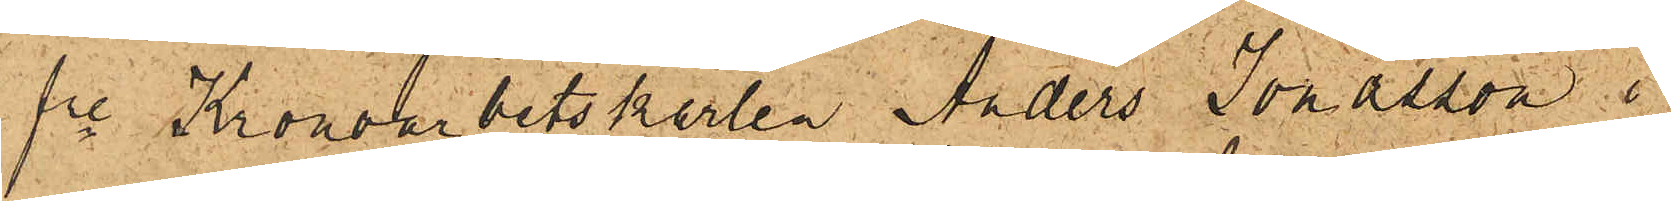fre Kronoarbetskarlen Anders Jonasson i
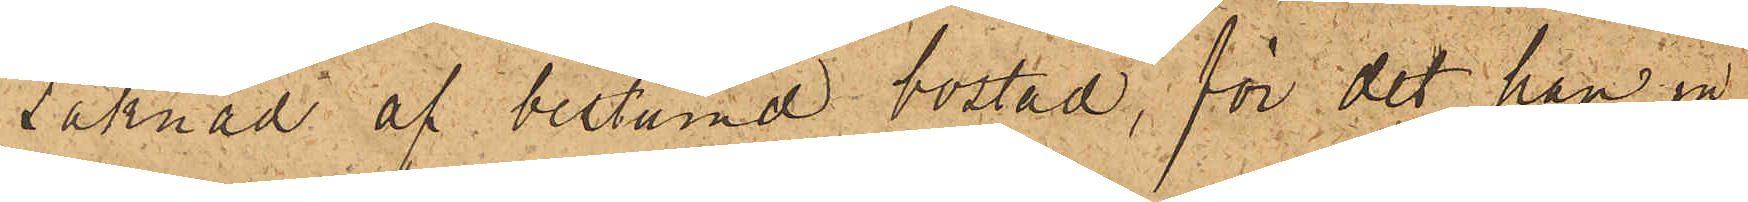saknad af bestämd bostad, för det han in¬
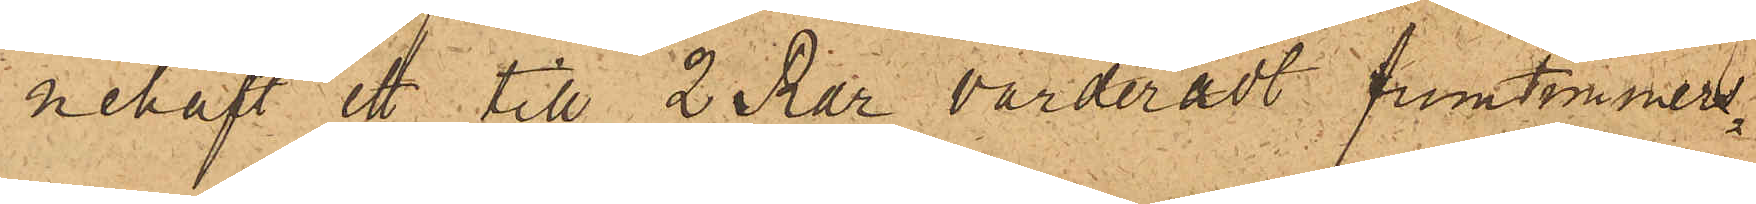nehaft ett till 2 Rdr värderadt frumtimmers¬
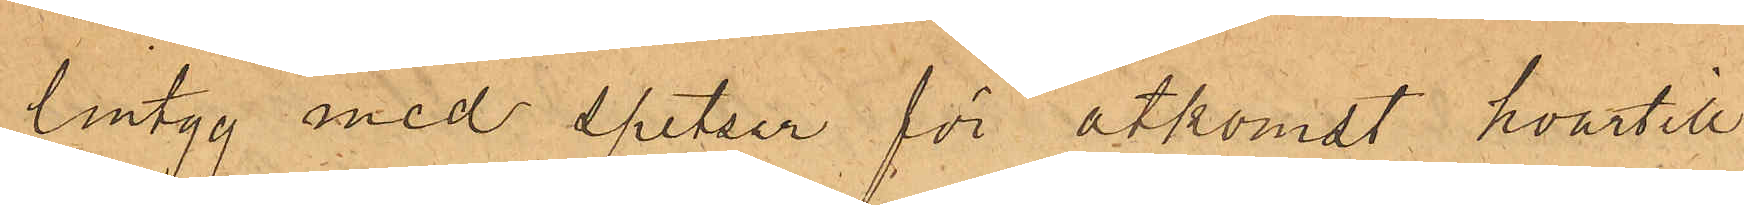lintyg med spetsar för åtkomst hvartill
